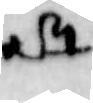att
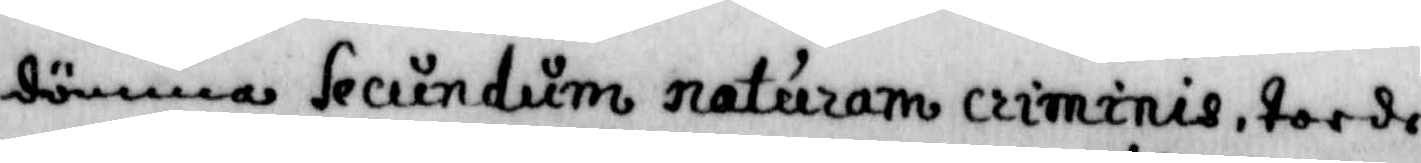dömma Secundum naturam criminis, torde
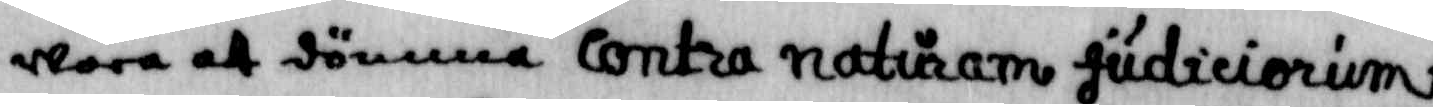wara att dömma contra naturam judiciorum
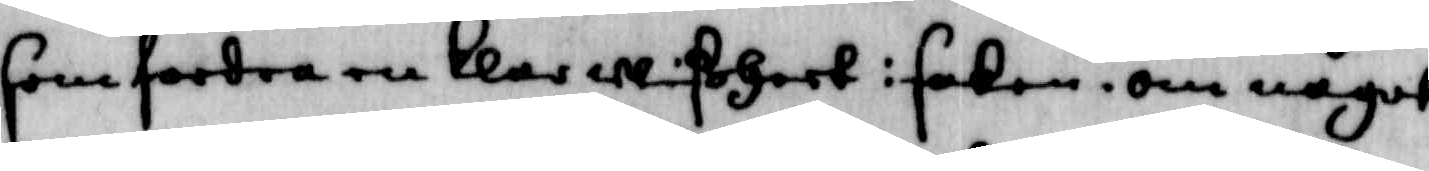som fordra en klar wißheet i saken, om något
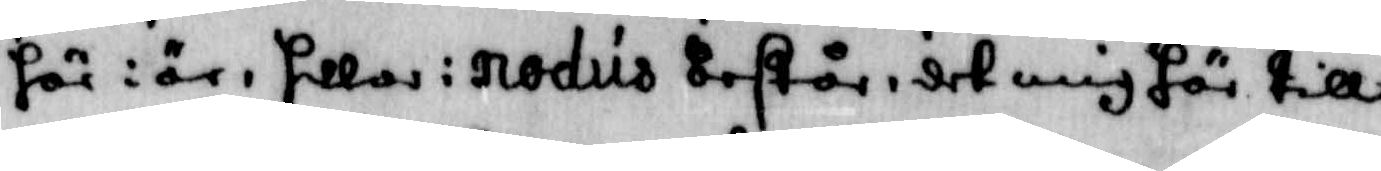här i är, hollas i nodus Består i det mig här till
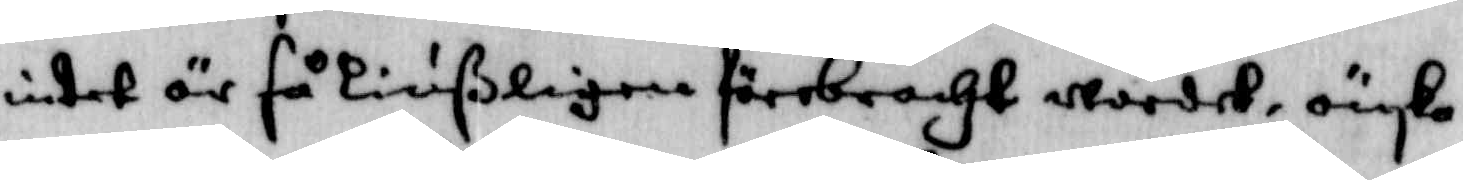intet är så Liußligen förebracht wordet, önska¬
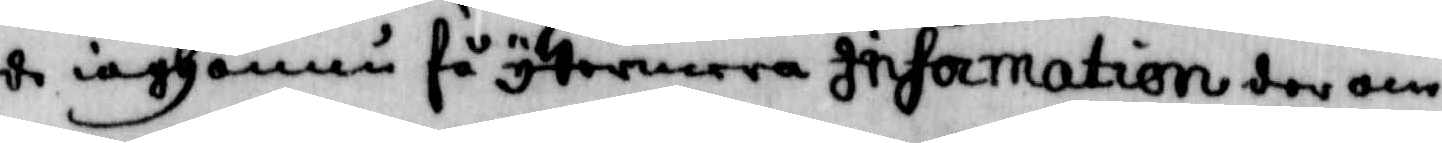de iagh ännu få ytermera Information der om,
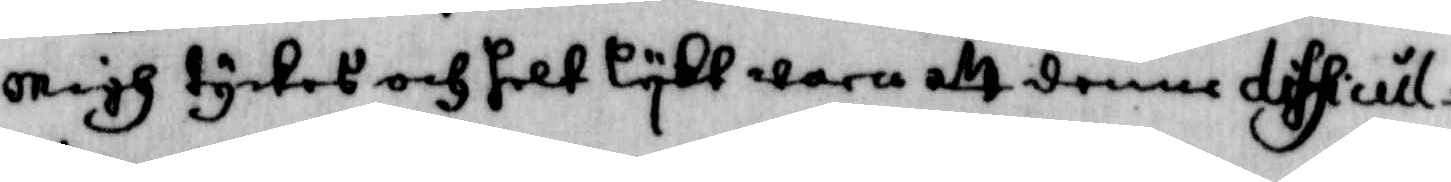migh tyckes och helt lykt wara att denne difsicul¬
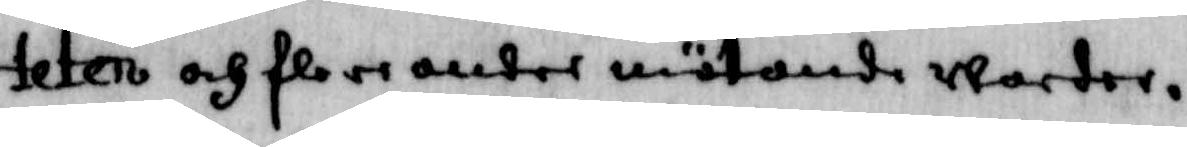teten och flere andre mötande warder.
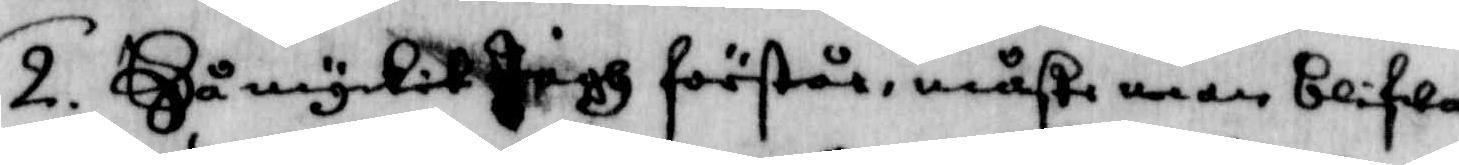2. Så myckit Jagh förstår, måste man blifwa
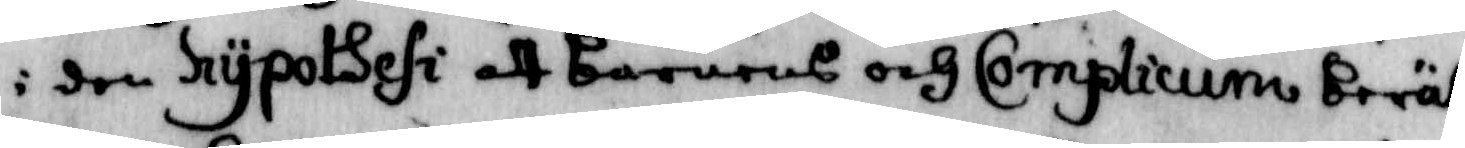i den hypotsesi att barnens och Complicum Berät¬
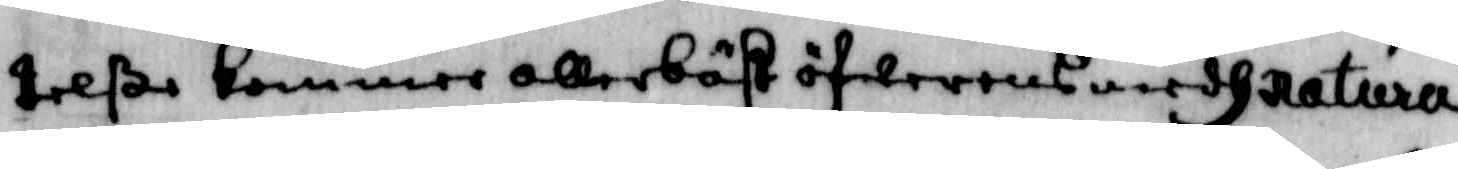telße kommer allerbast öfwerens medh natura
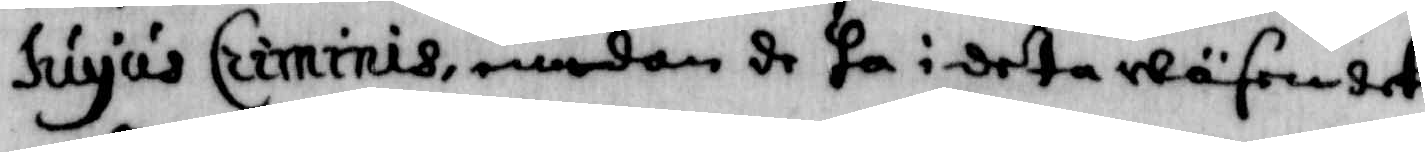huyus Criminis, emedan de ha i detta wäsendet
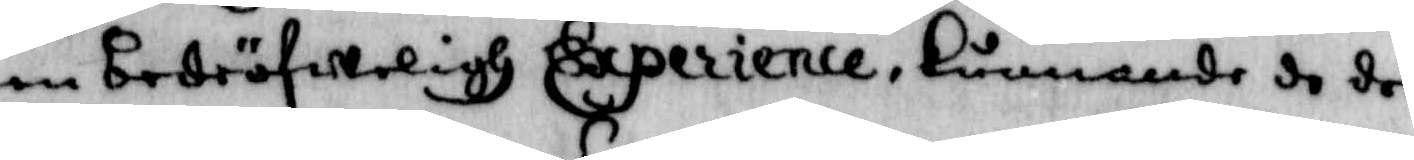en bedröfweligh Experience, kummande de det
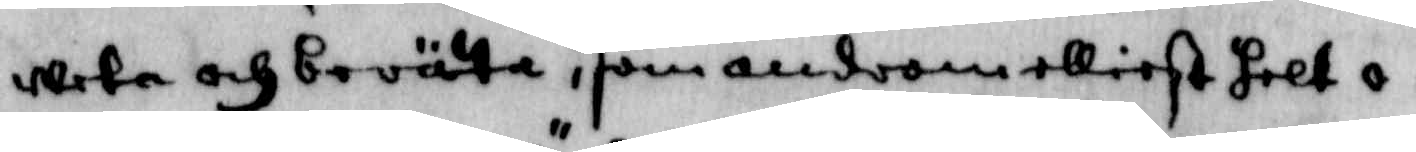weta och berätta, som androm elliest helt o¬
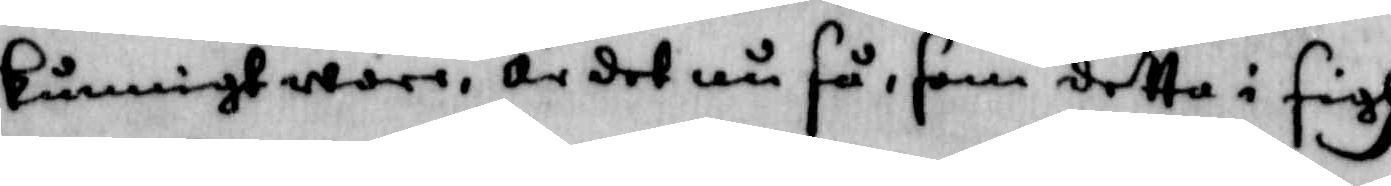kunnigt ware, är det nu så, som detta i sigh
